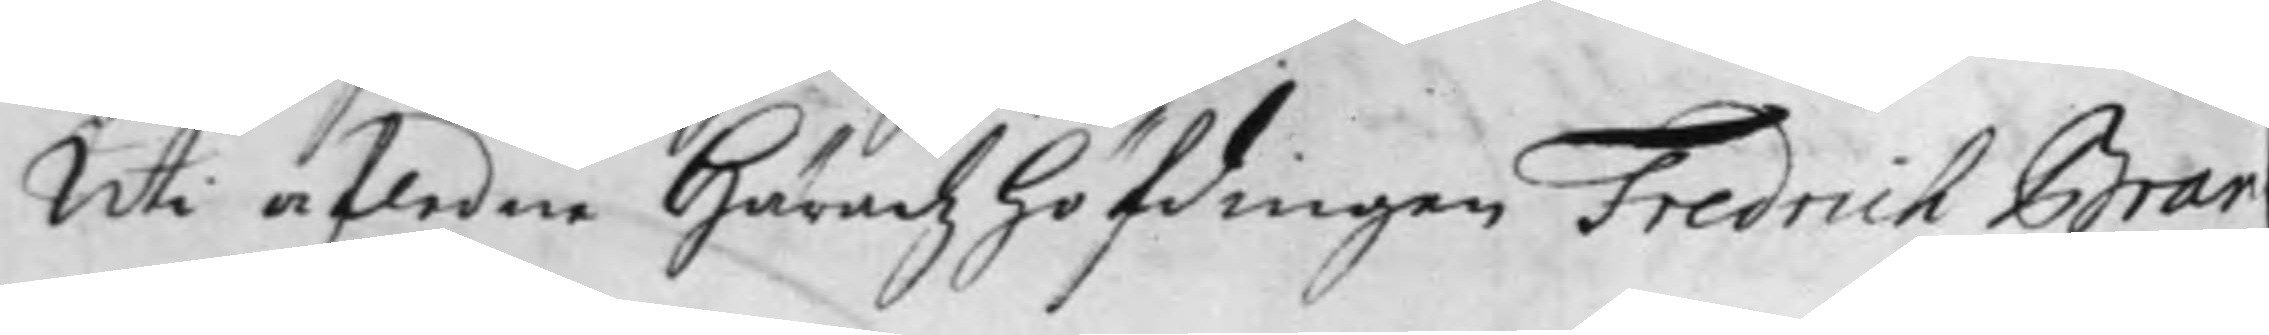Uti afledne Häradz höfdingen Fredrich Bran¬
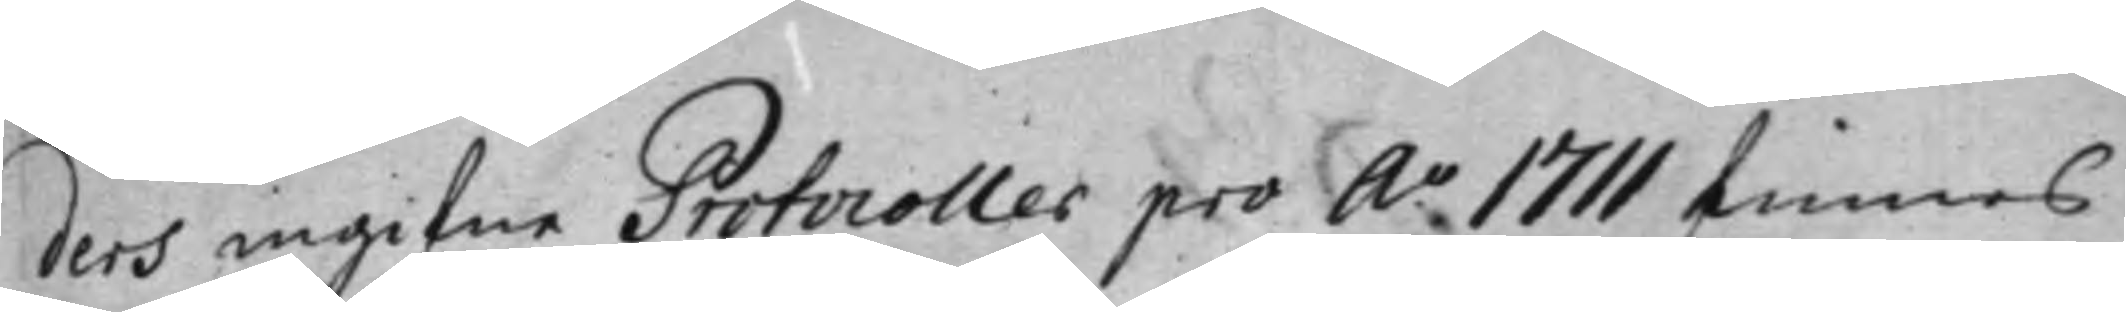ders ingifne Protocoller pro A:o 1711 finnes
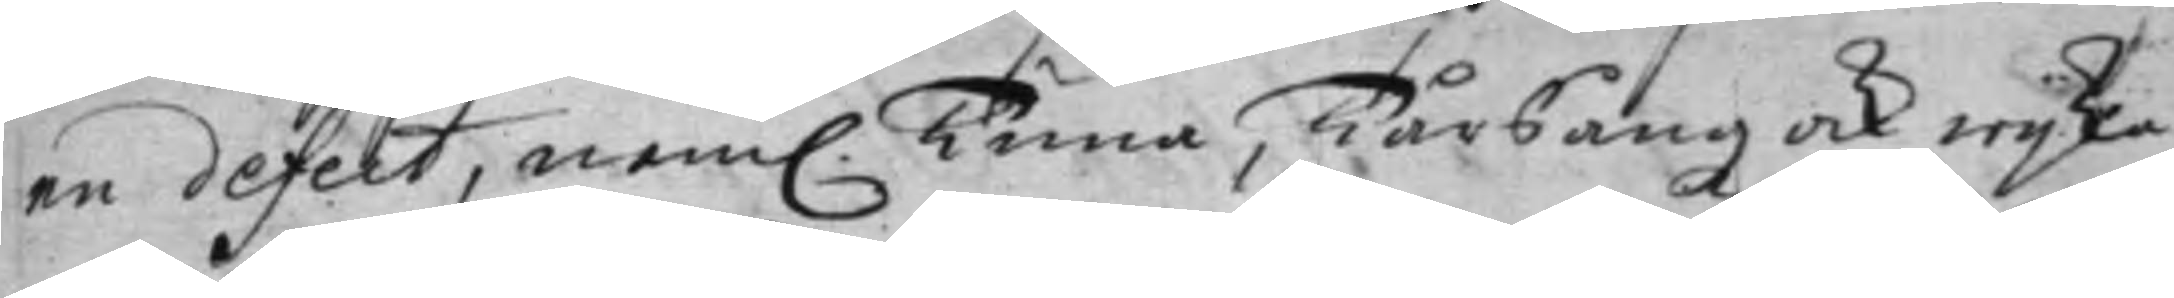en defekt, nem. Tuna, Tårsångz ock Wijka
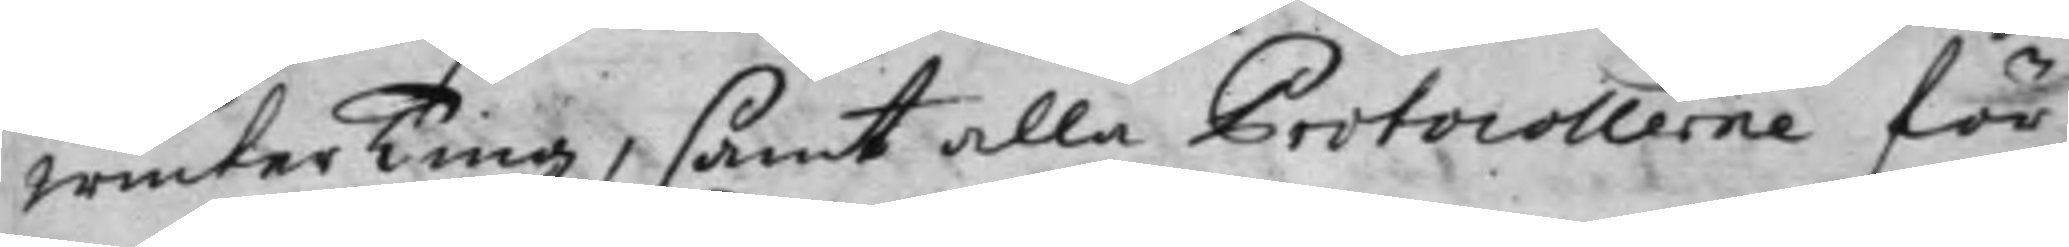Winter Ting, samt alla Protocollerne för
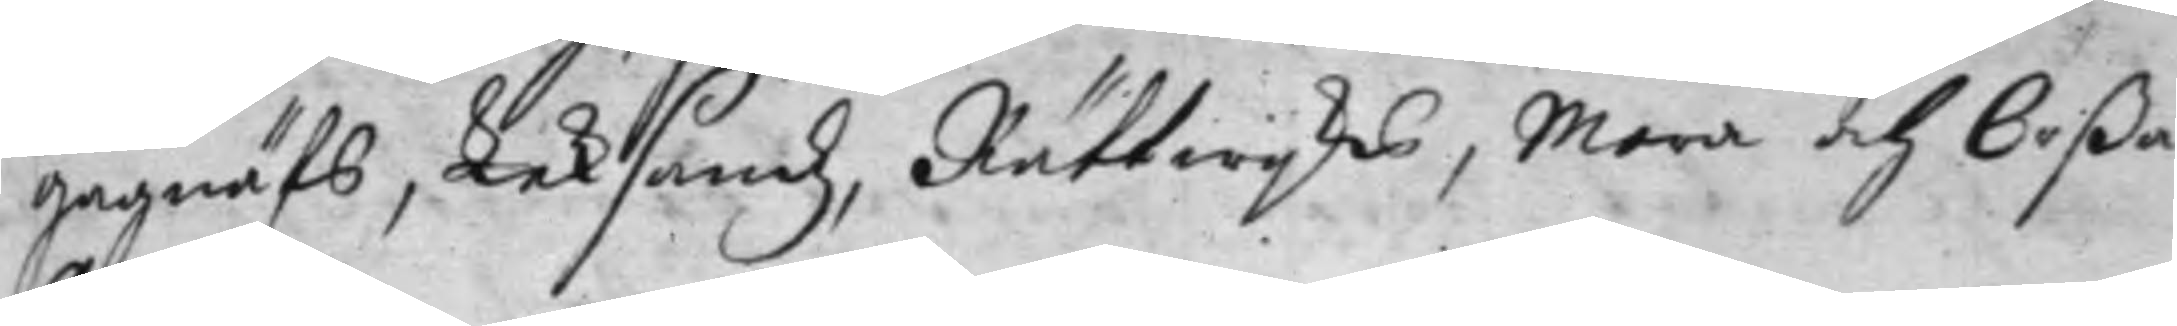Gagnäfs, Leksandz, Rättwijks, Mora och Orßa
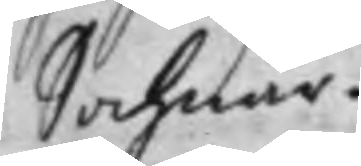Sochnar.
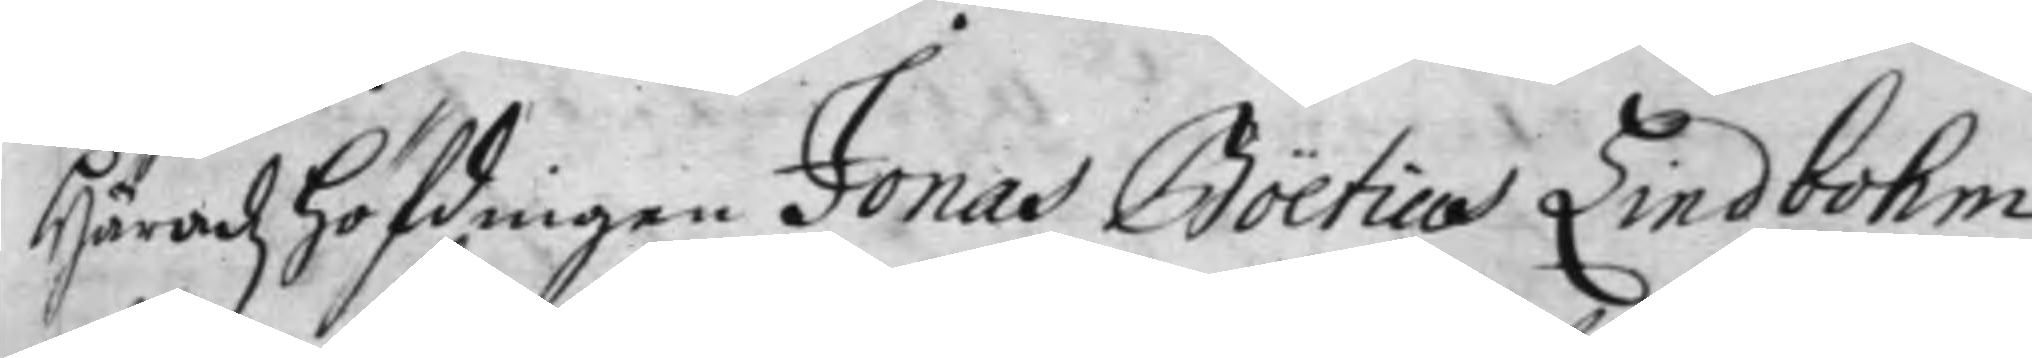Häradz höfdingen Jonas Boëtius Lindbohm
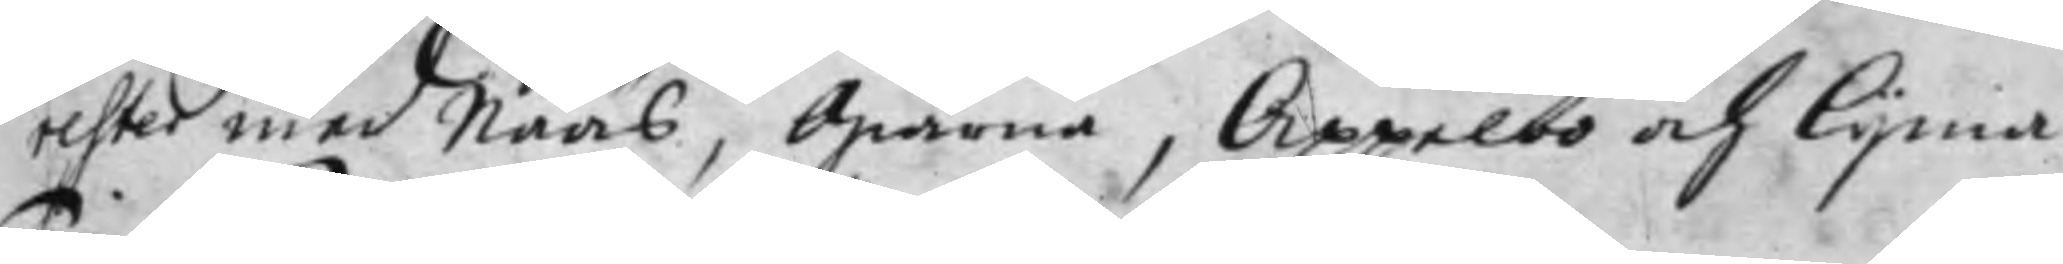rester med Nääs, Giärna, Appelbo och Lijma
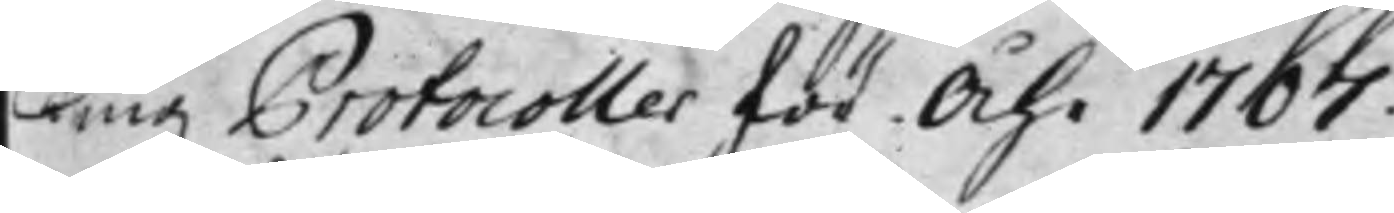Tingz Protocoller för Åhr 1707.
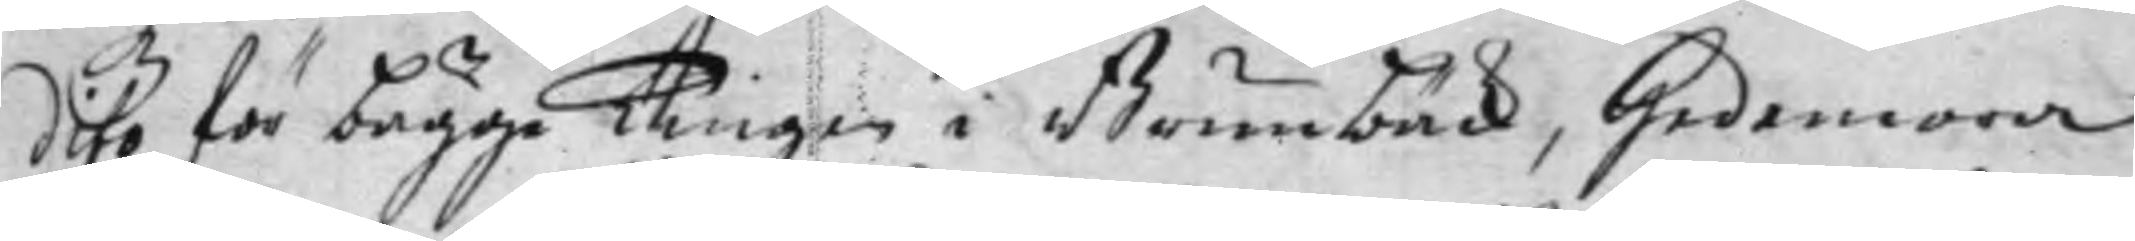dito för bägge Tingen i Brunbäck, Hedemora
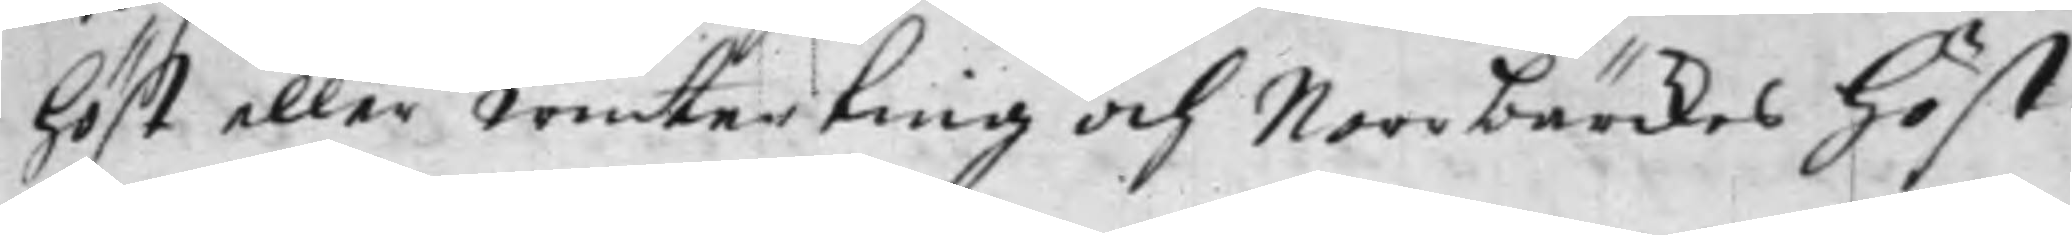höst eller Winterting och Norrbärckes höst¬
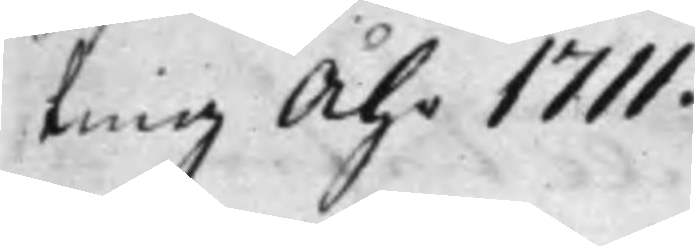ting Åhr 1711.
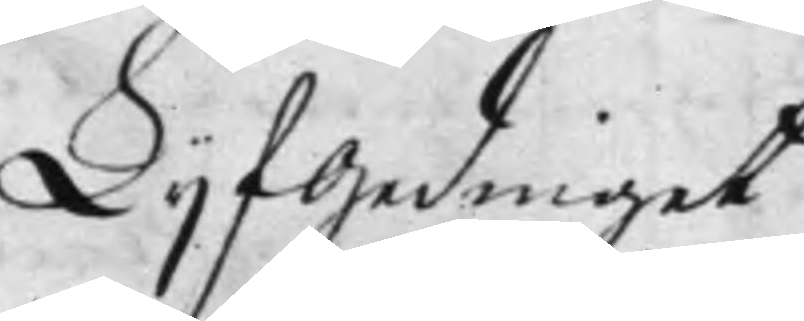Lijfgedinget
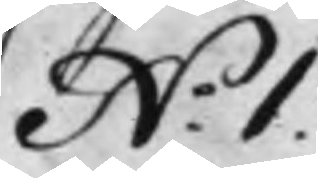N.o 1.
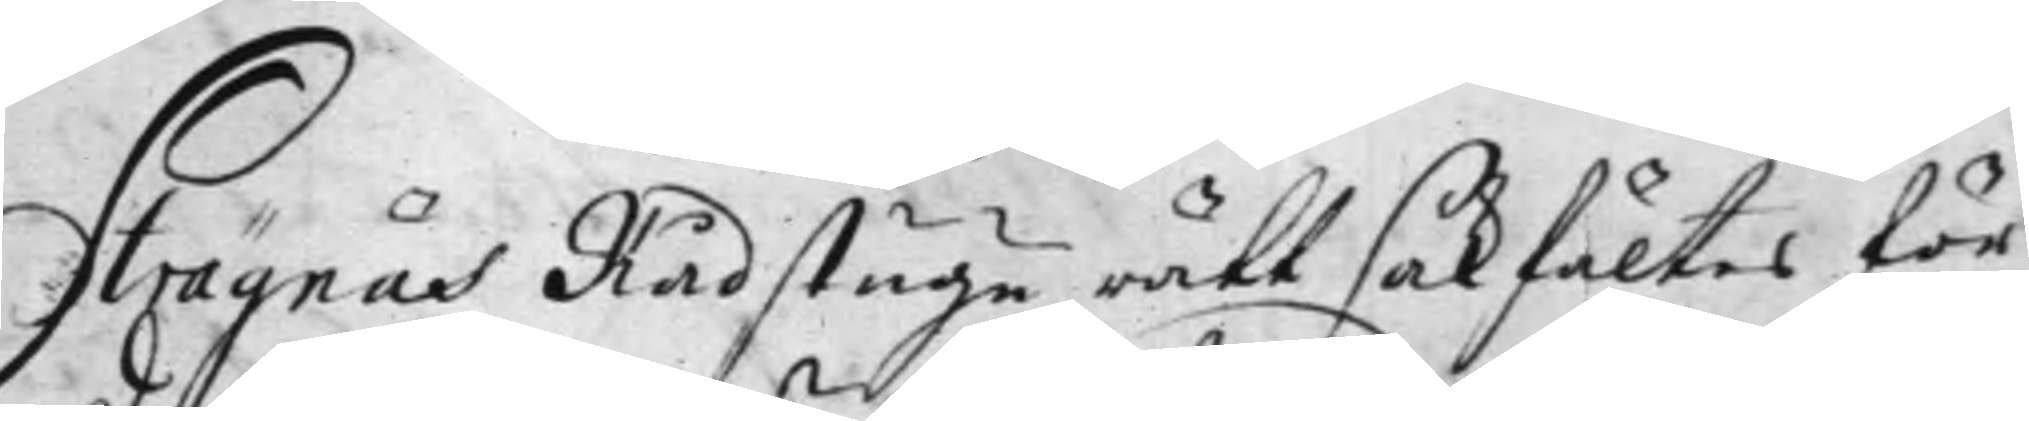Strägnäs Rådstugu rätt sakfältes för
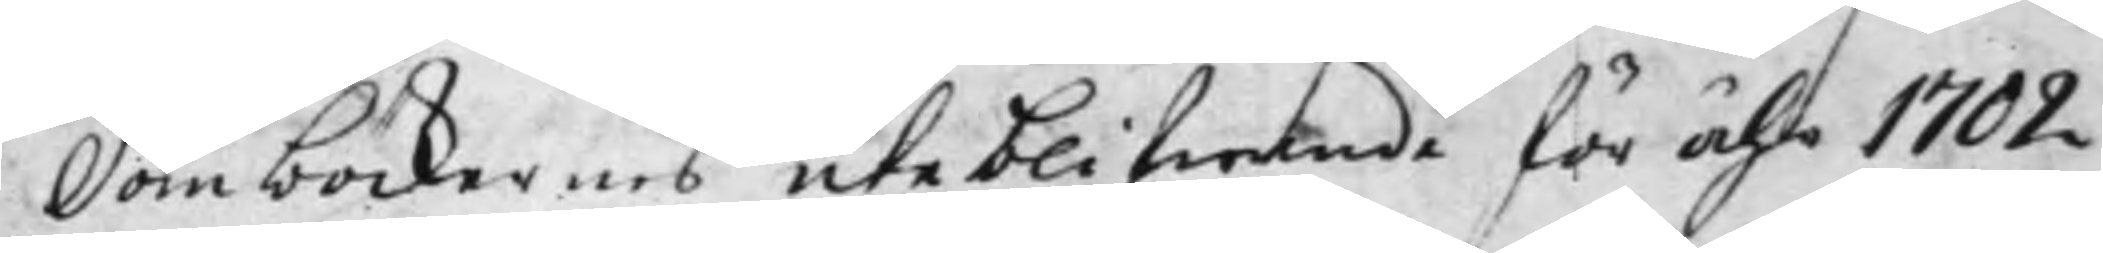Domböckernes uteblifwande för Åhr 1702
